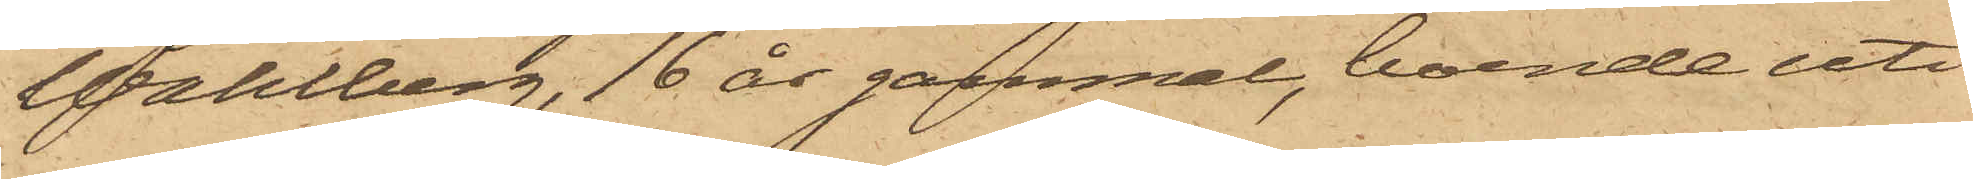Wahlberg, 16 år gammal, boende uti
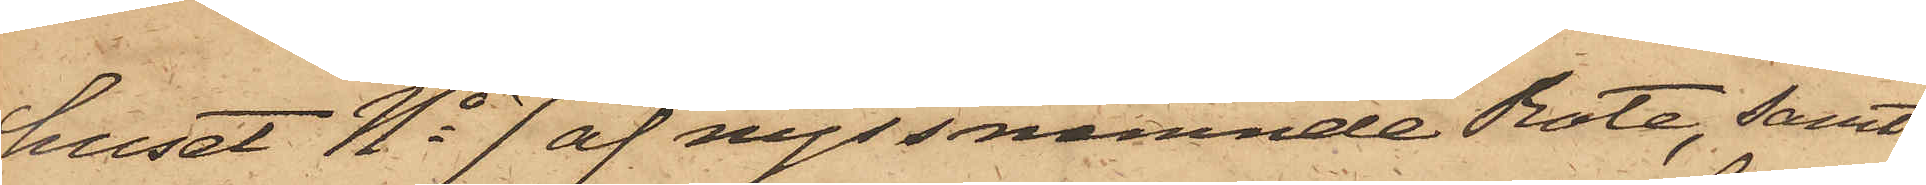huset No 7 af nyssnämnde Rote, samt
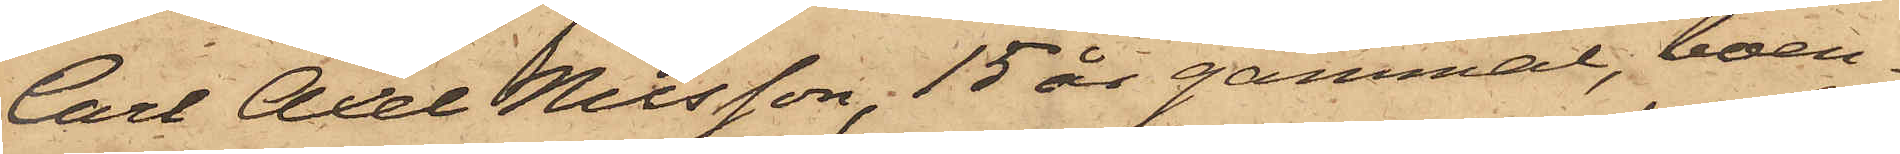Carl Axel Nilsson, 15 år gammal, boen¬
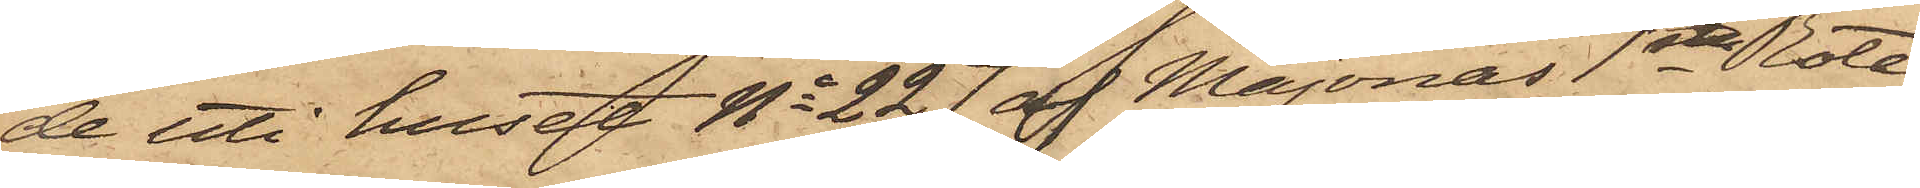de uti huset No 227 af Majornas 1sta Rote,
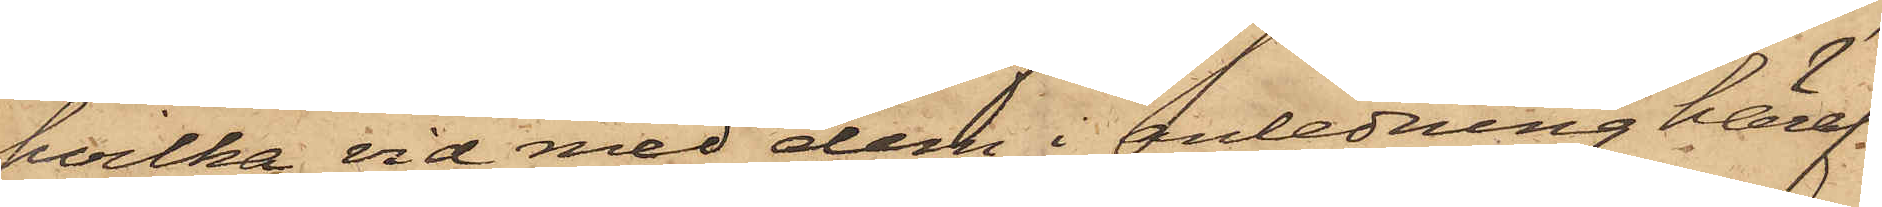hvilka vid med dem i anledning häraf
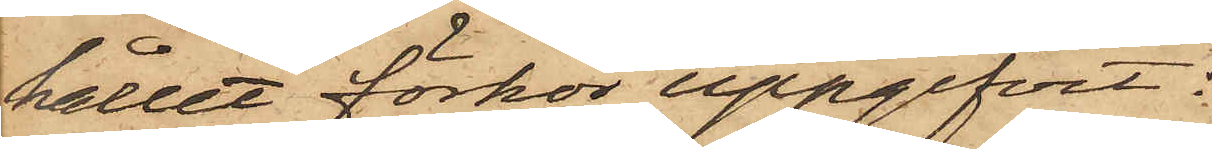hållet förhör uppgifvit:
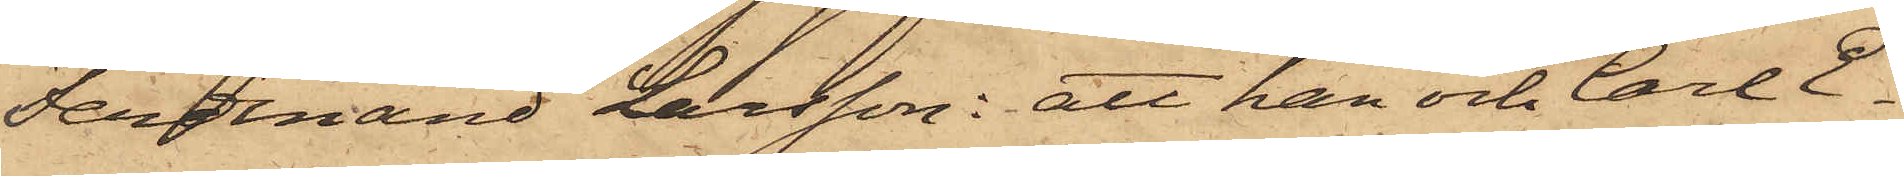Ferdinand Larsson: att han och Carl E¬
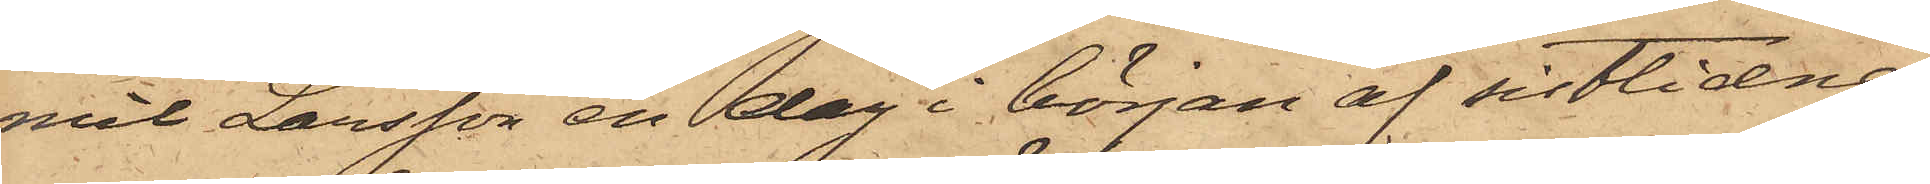mil Larsson en dag i början af sistlidne
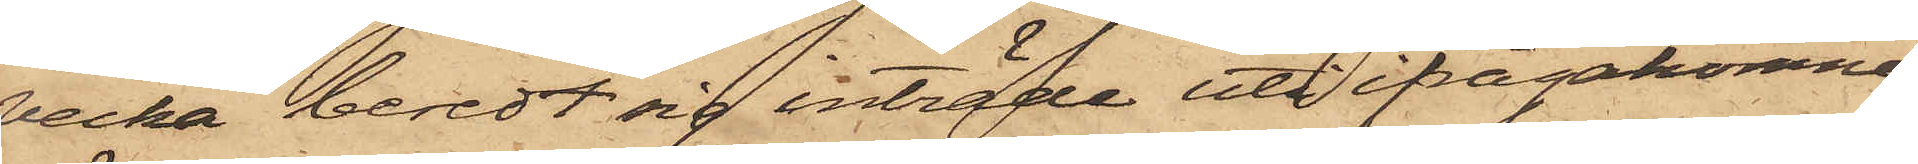vecka beredt sig inträde uti ifrågakomne
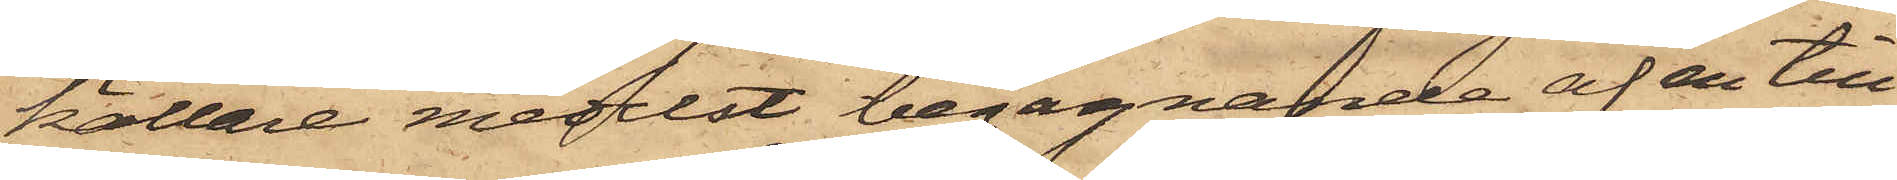källare medelst begagnande af en till
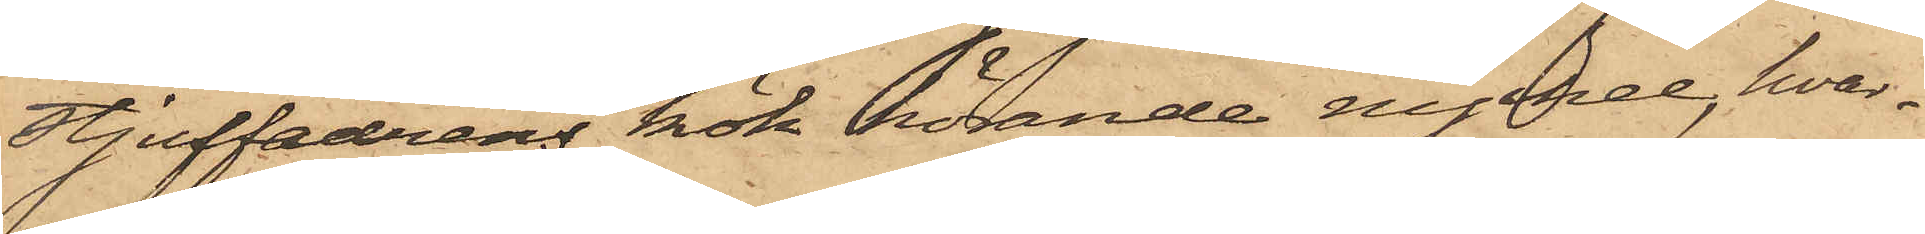stjuffadrens kök hörande nyckel, hvar¬
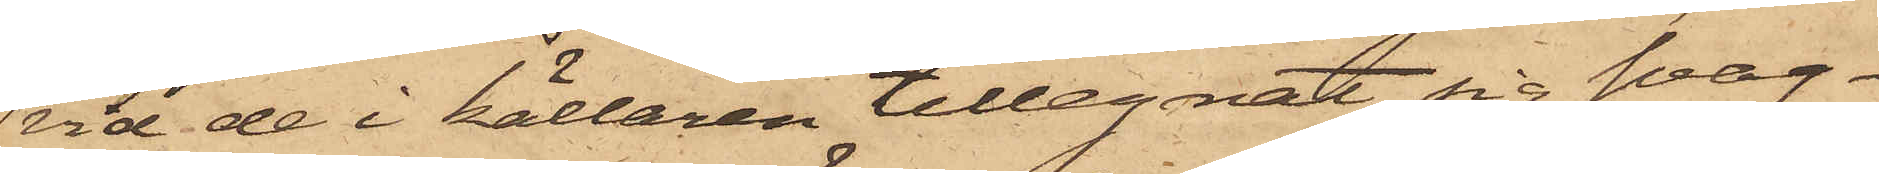vid de i källaren tillegnat sig svag¬
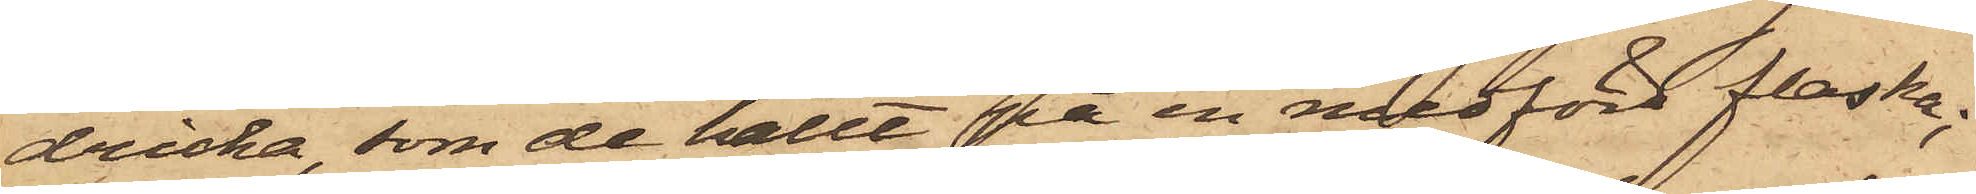dricka, som de hällt på en medförd flaska;
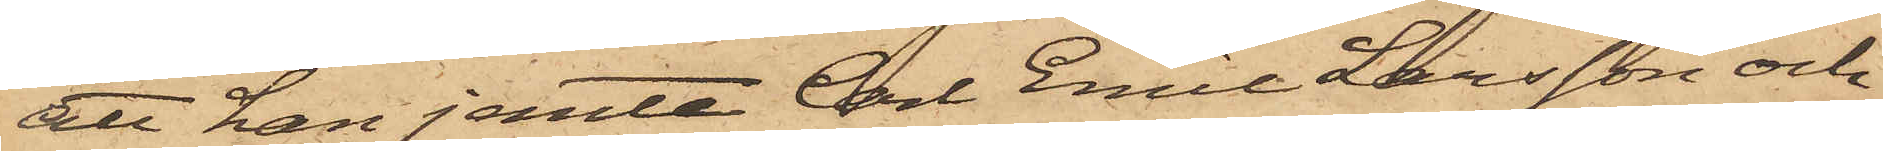att han jemte Carl Emil Larsson och
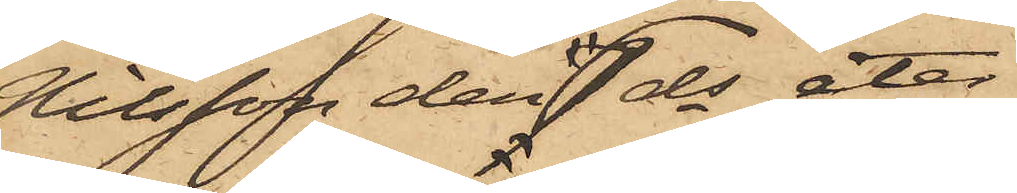Nilsson den 7 ds åter
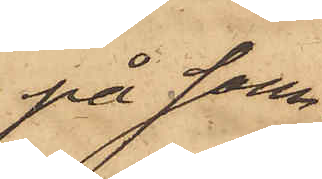på sam¬
